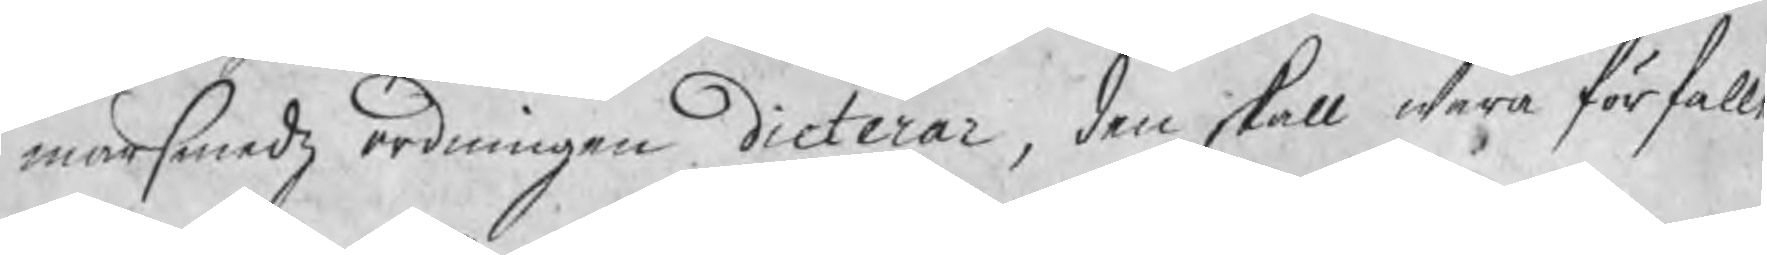marsmedzordningen dicterar, dem skall wara förfalle
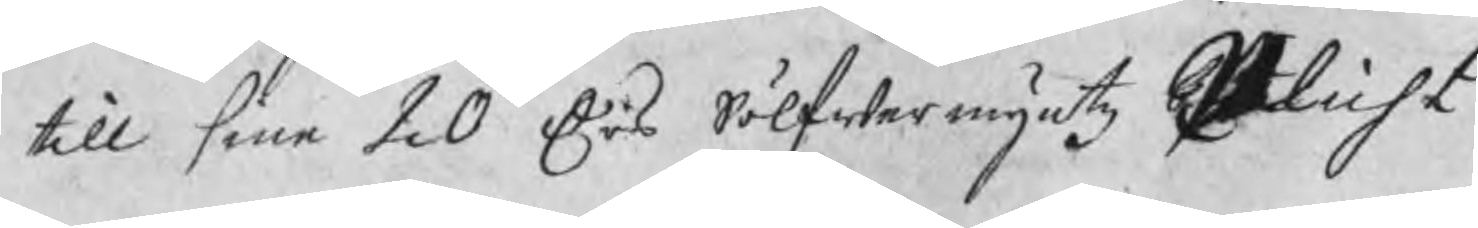till sine 20 Drs Sölfwermyntz Plicht.
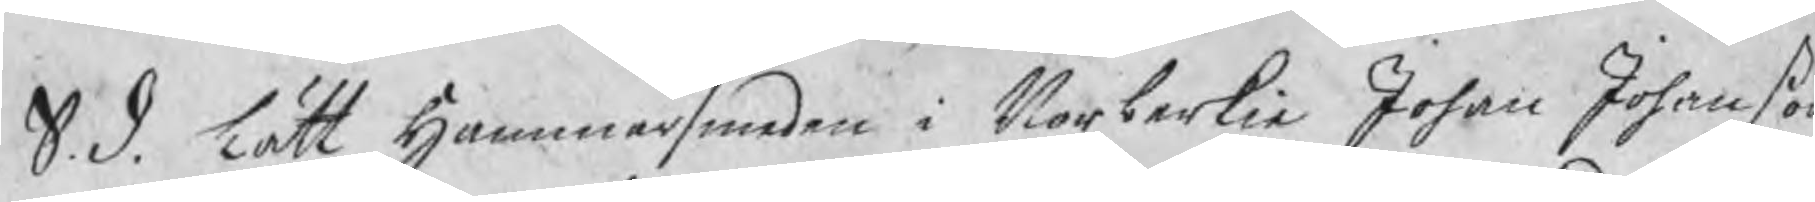S. d. lätt Hammarsmeden i Norberkie Johan Johanßon
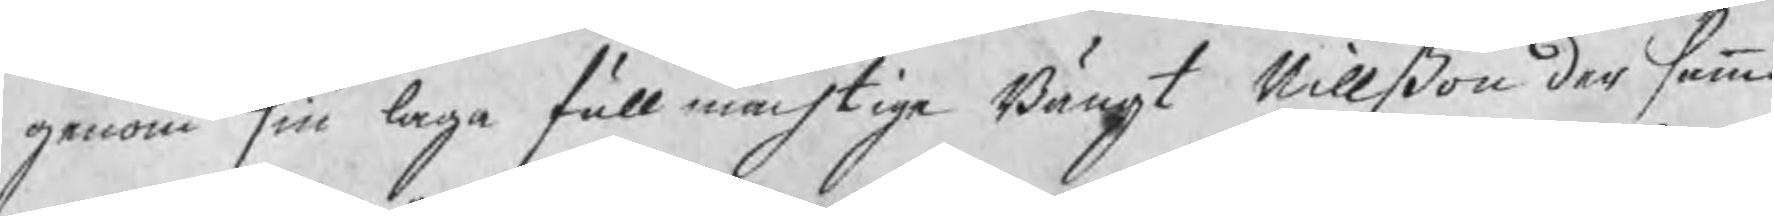genom sin laga fullmächtige Bängt Nillßon der samma
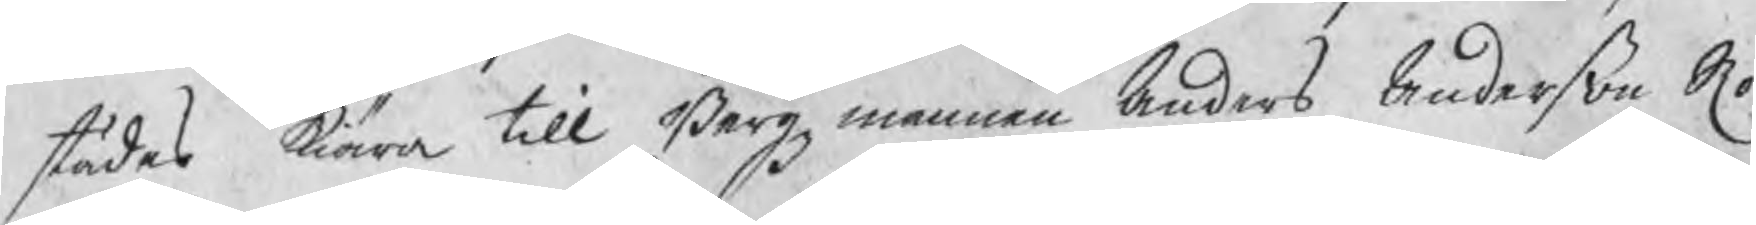städes kiära till Bergzmannen Anders Anderßon Ro¬
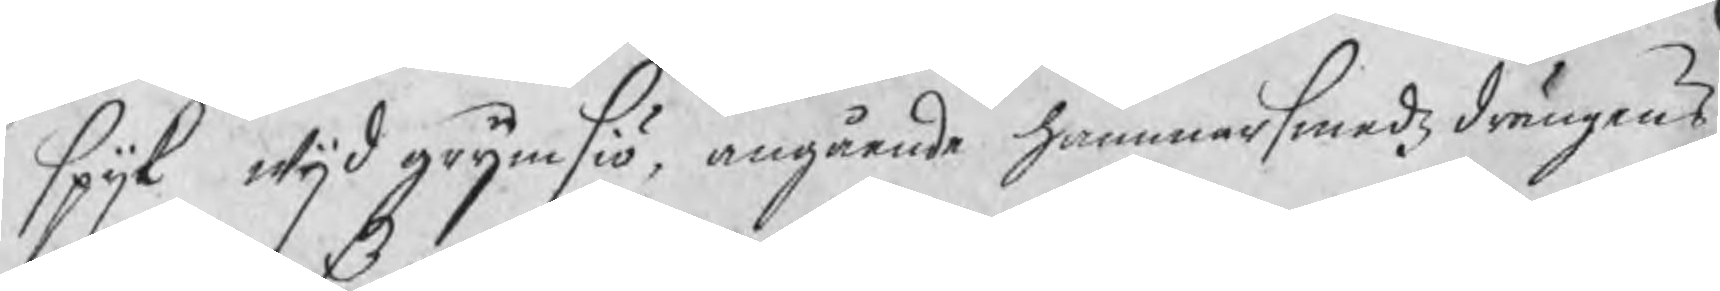spijk wijd grymsiö, angående hammarsmedzdrängens
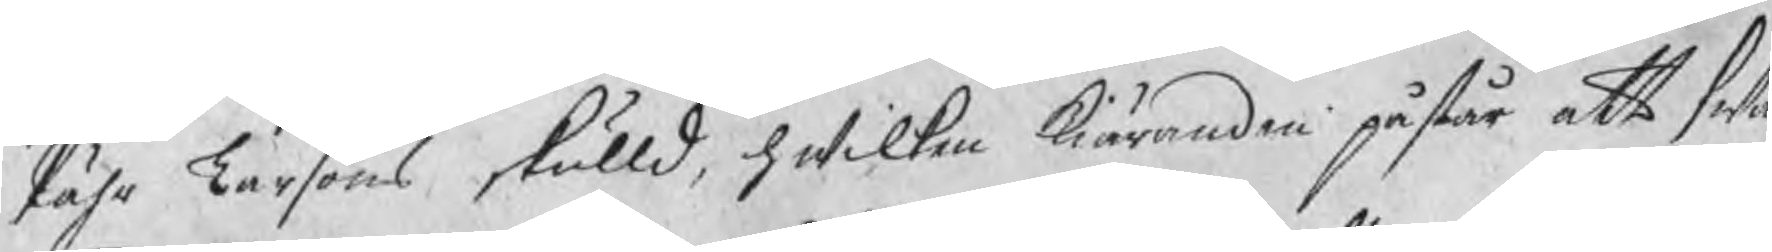Pähr Larßons skulld, hwilken kiäranden påstår att swa¬
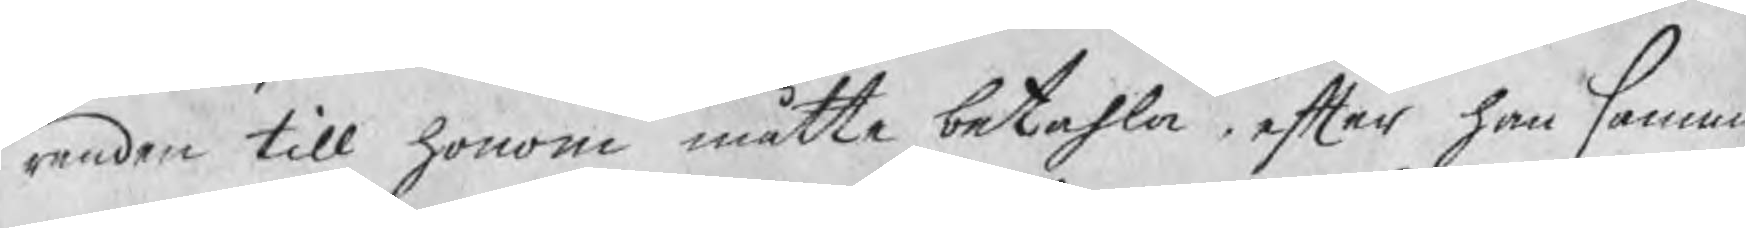randen till honom måtte betahla efter han samma
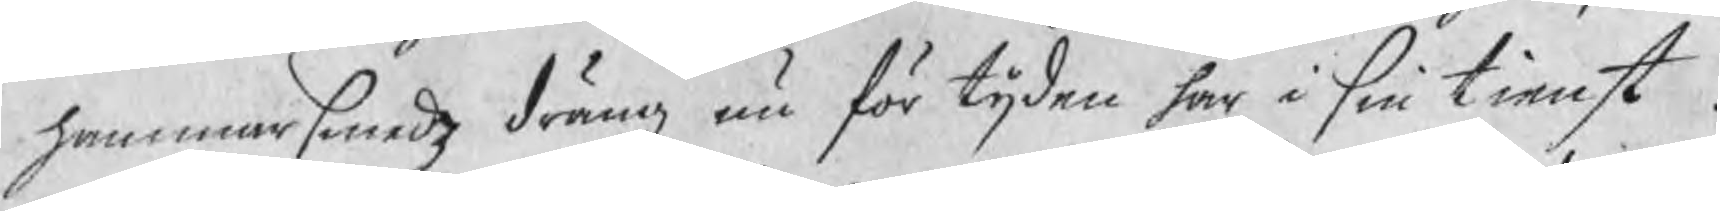hammarsmedz dräng nu för tijden har i sin tienst.
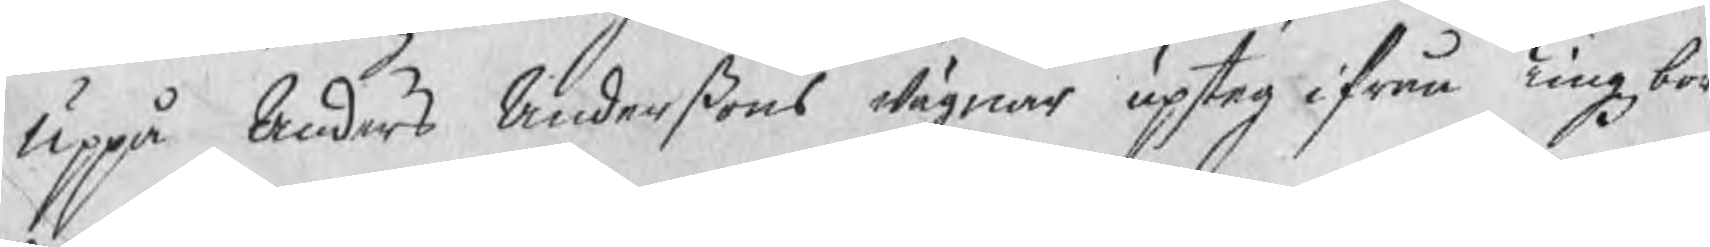Uppå Anders Anderßons wägnar upsteg ifrån Tingzbor¬
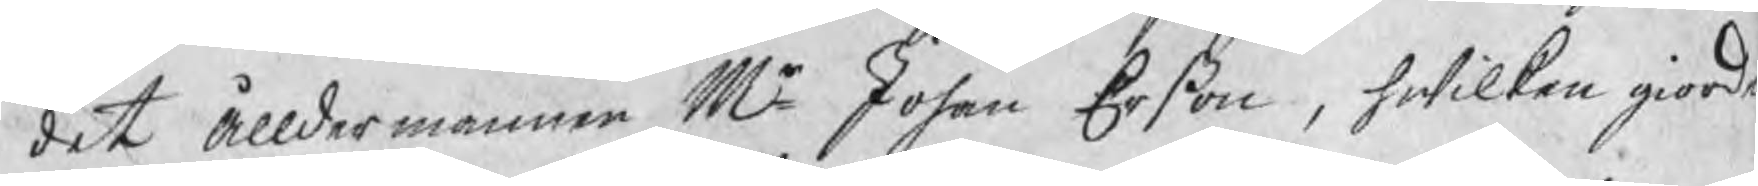det ålldermannen Mr Johan Erßon, hwilken giorde
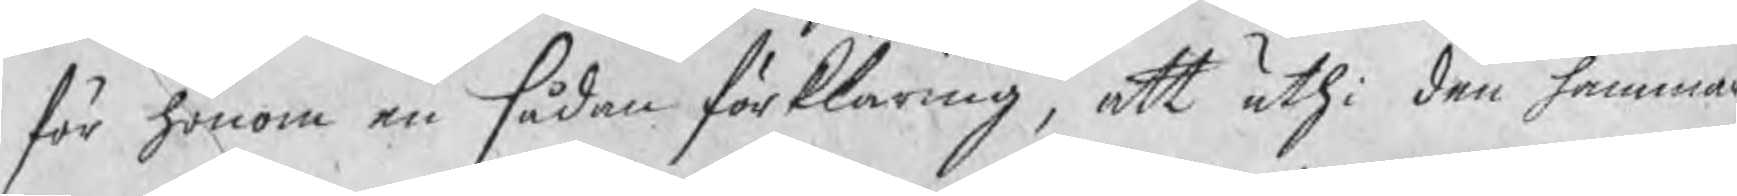för honom en sådan förklaring, att uthi den hammar
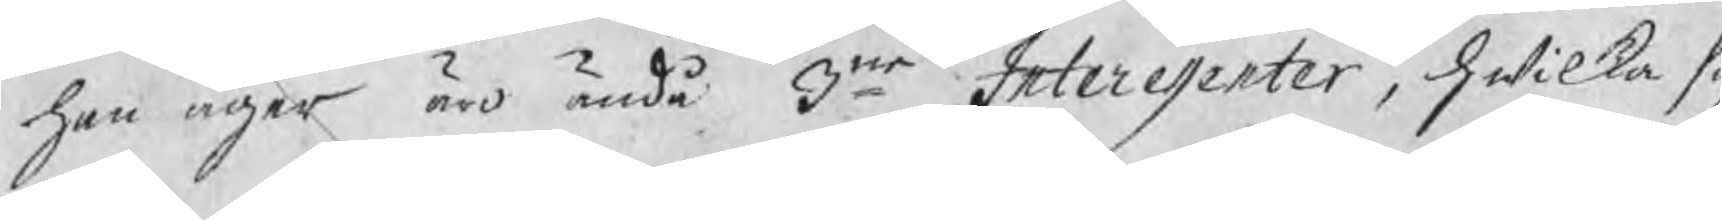han äger äro ändå 3ne Interessenter, hwilka sig
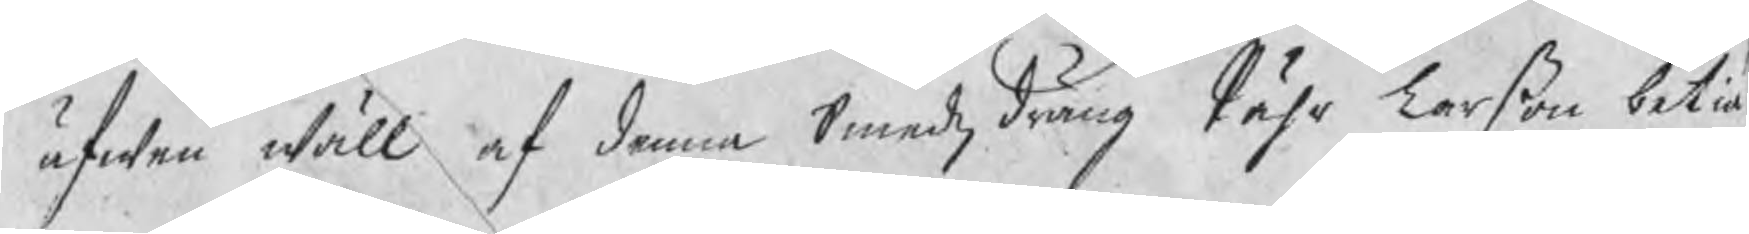äfwen wäll af denna Smedzdräng Pähr Larßon betiä
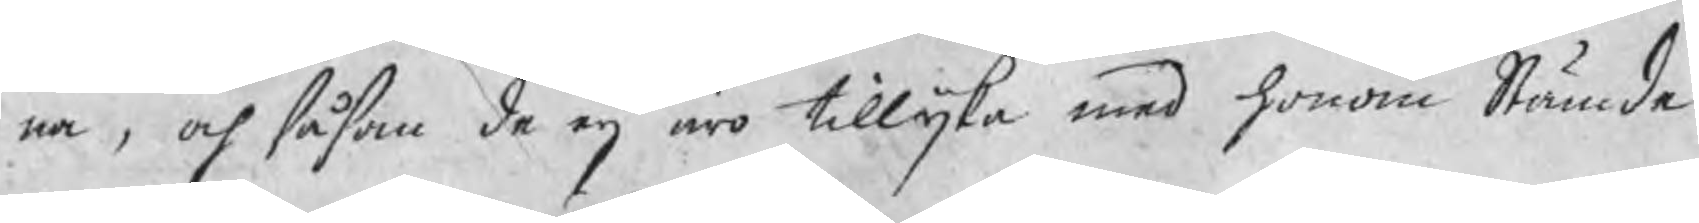na, och såsom de eij äro tillika med honom Stämde,
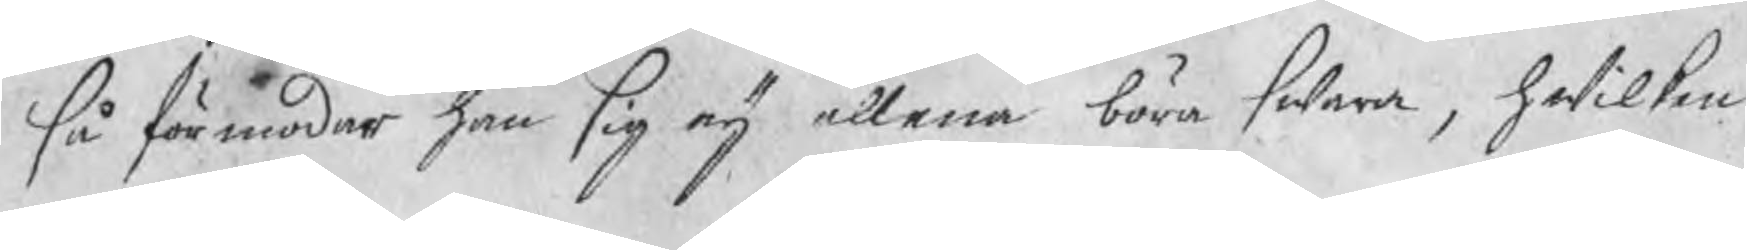så förmodar han sig eij allena böra swara, hwilken
